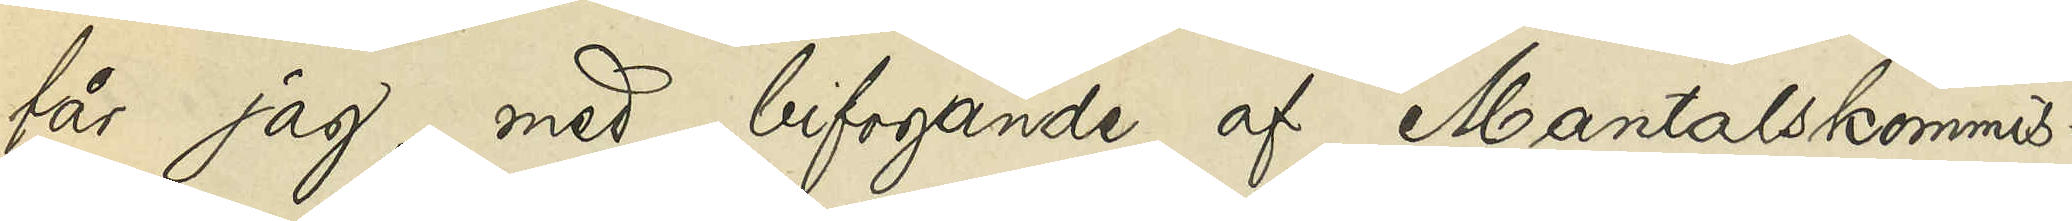får jag, med bifogande af Mantalskommis¬
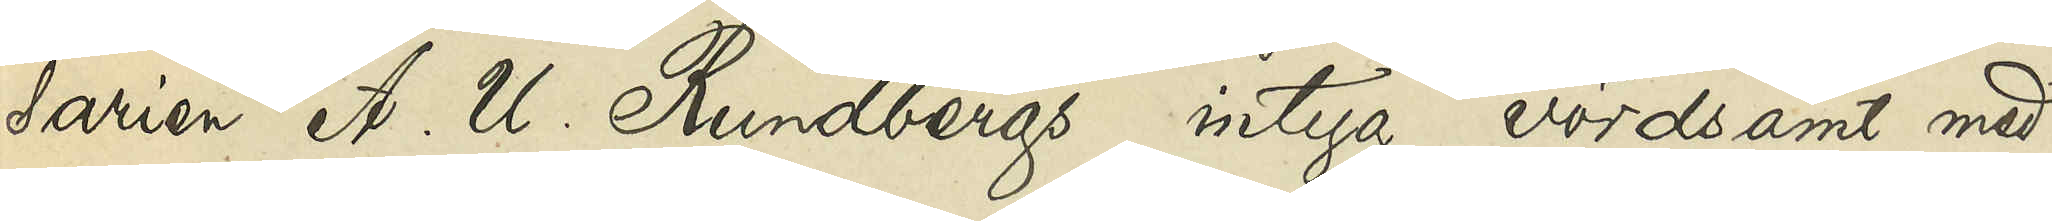sarien A. U. Rundbergs intyg vördsamt med¬
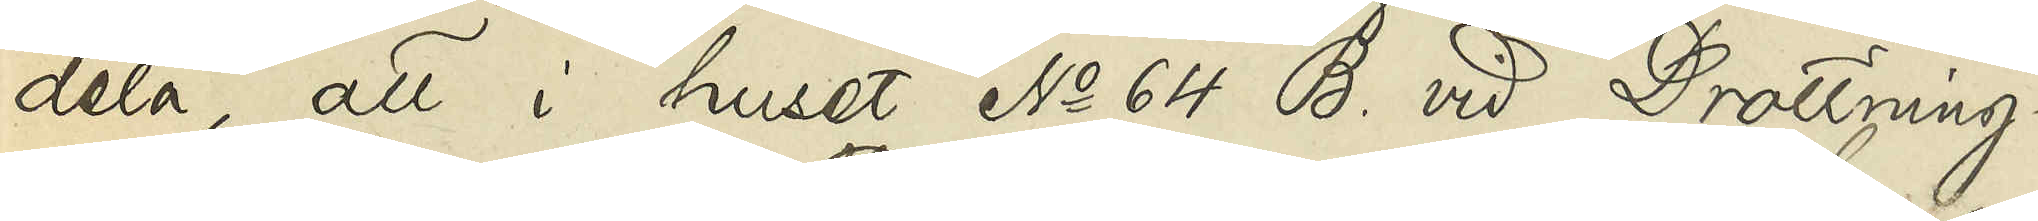dela, att i huset No 64 B vid Drottning¬
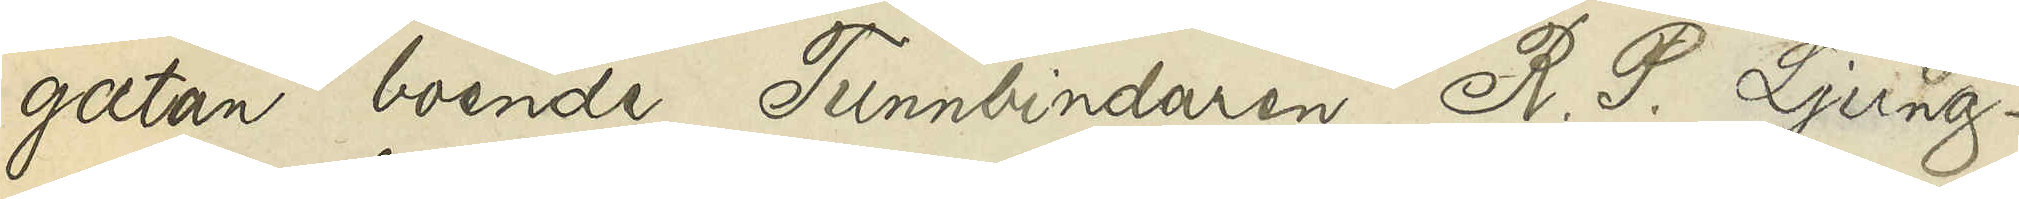gatan boende Tunnbindaren R.P. Ljung¬
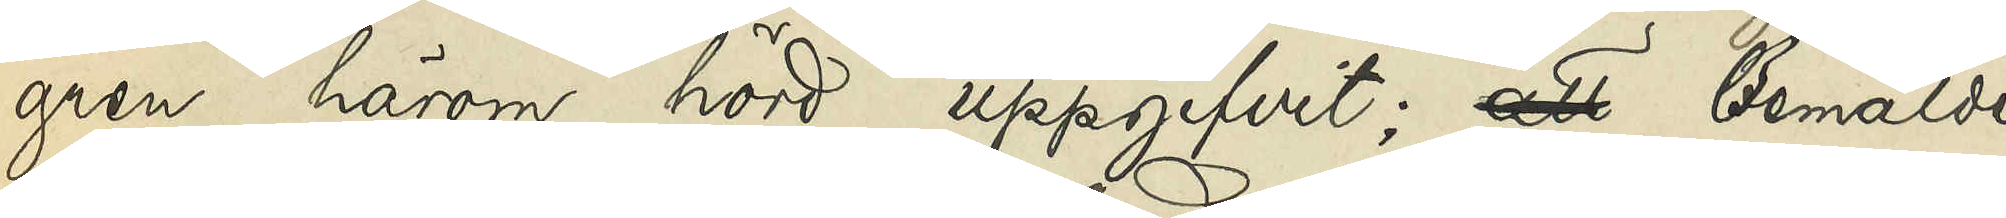gren härom hörd uppgifvit; att Bemälde
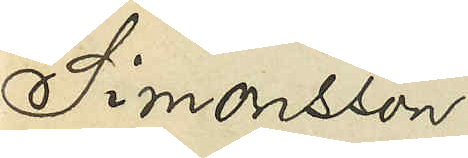Simonsson 
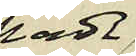hade
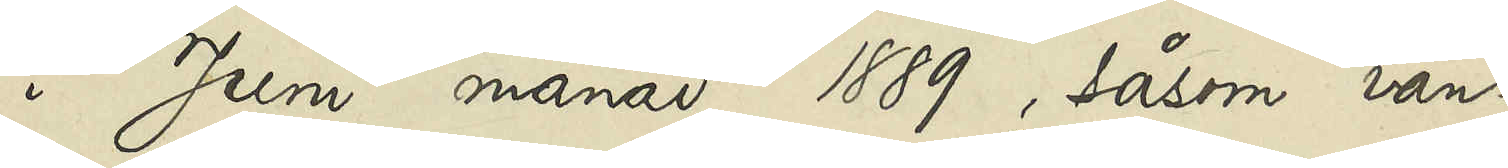i Juni månad 1889, såsom van¬
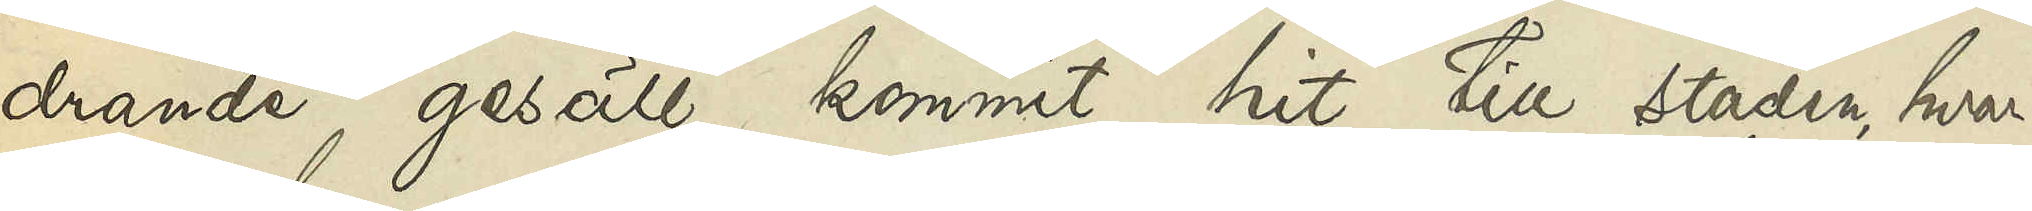drande gesäll kommit hit till staden, hvar¬
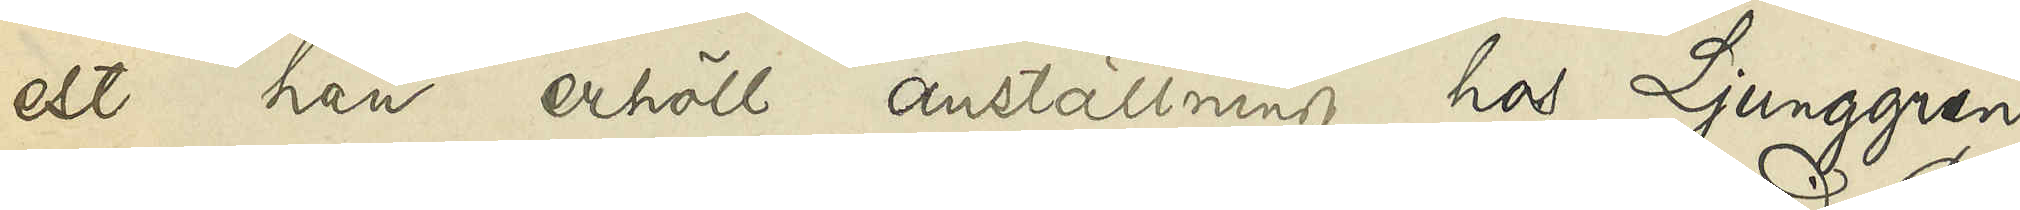est han erhöll anställning hos Ljunggren
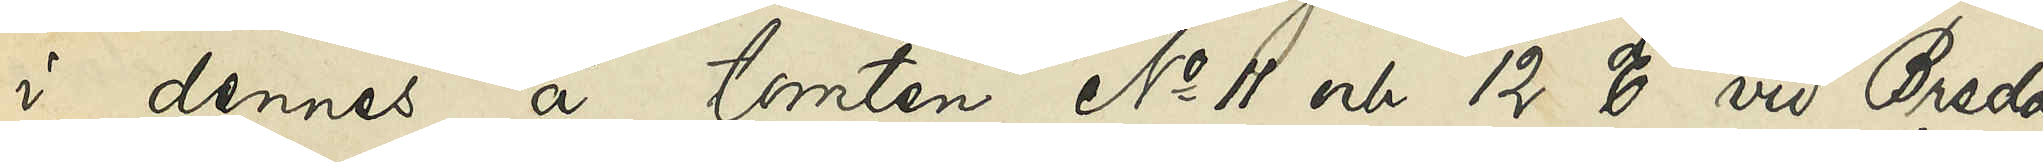i dennes å tomten No 11 och 12 C vid Breda
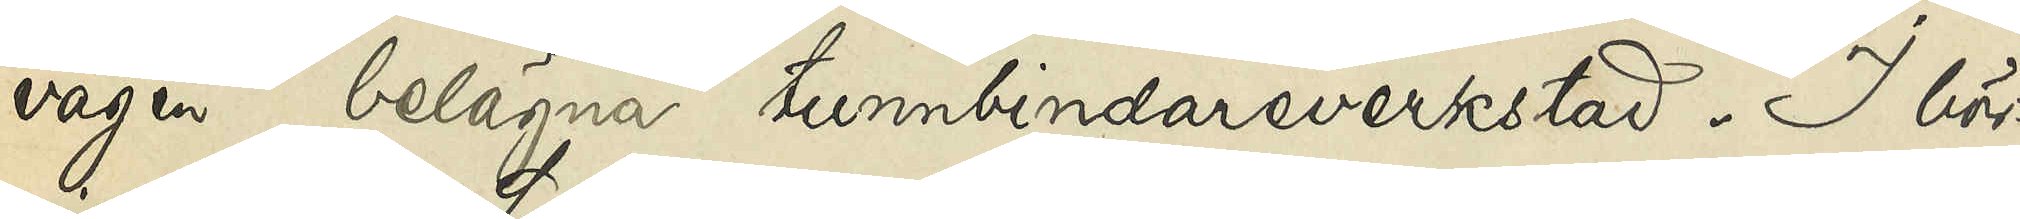vägen belägna tunnbindareverkstad. I bör¬
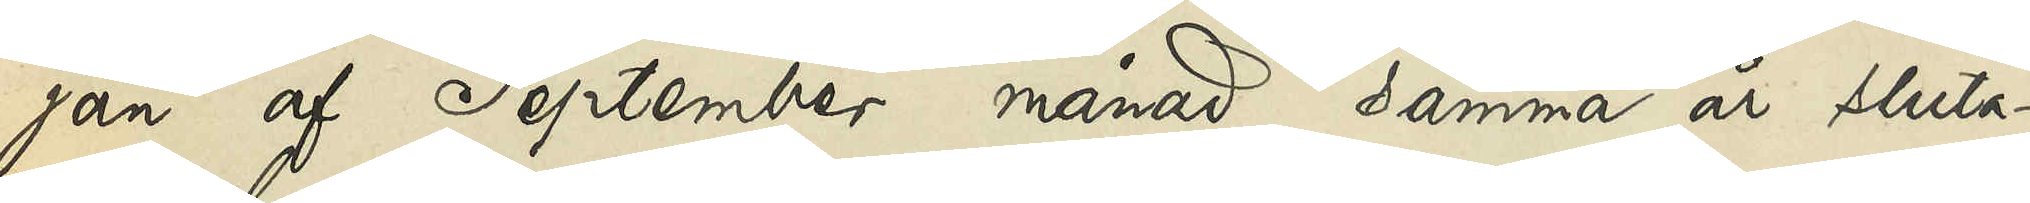jan af September månad samma år sluta¬
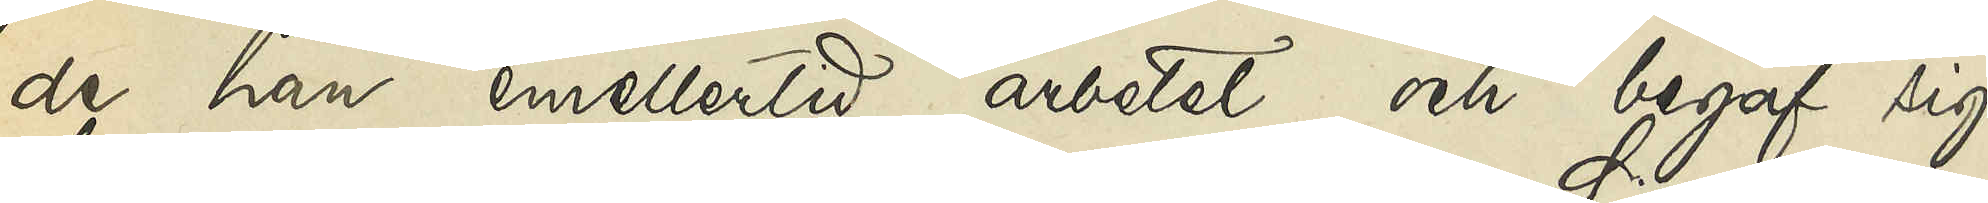de han emellertid arbetet och begaf sig
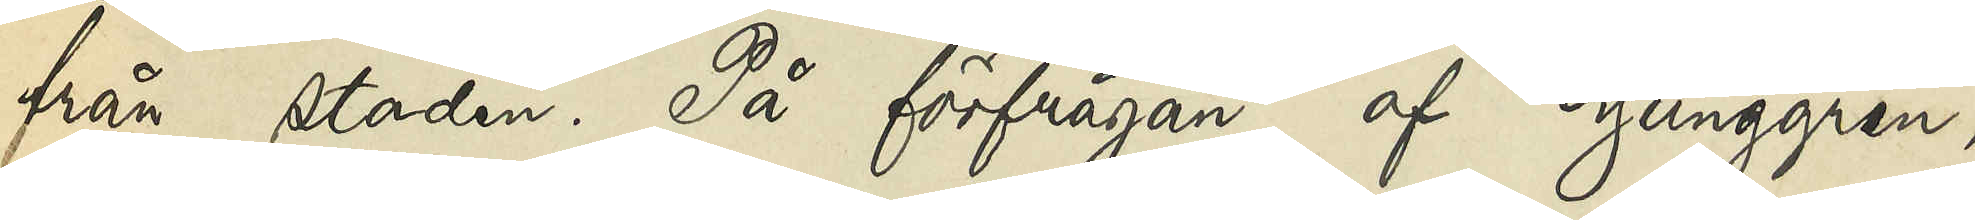från staden. På förfrågan af Ljunggren,
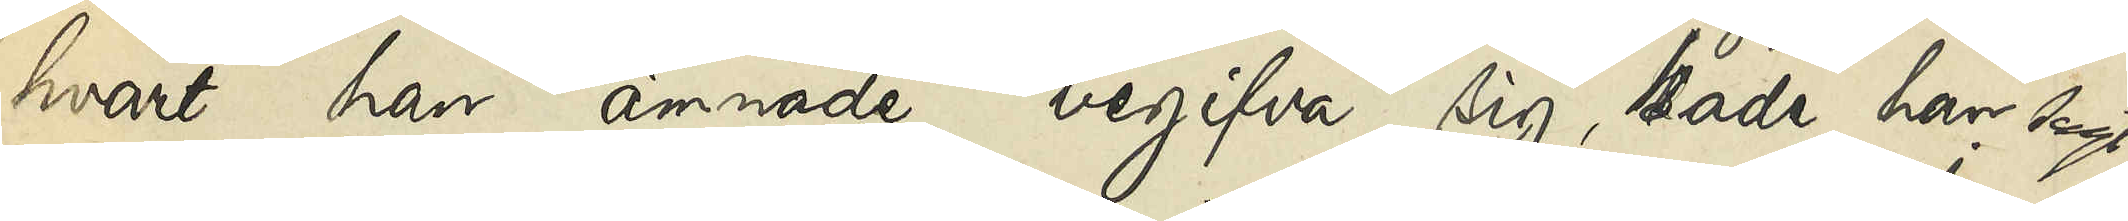hvart han ämnade begifva sig, hade han sagt
